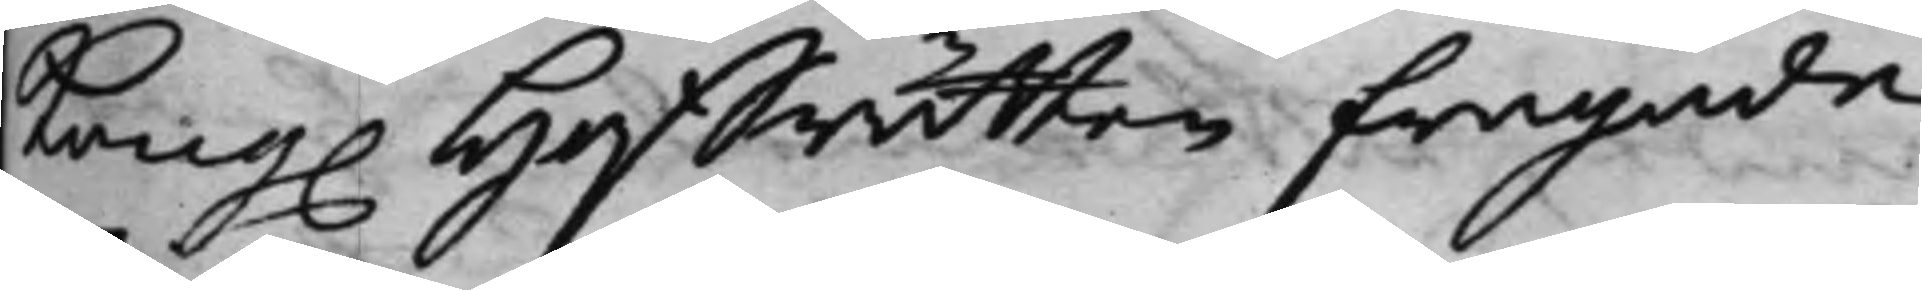Kong. Hoffrätten frågade
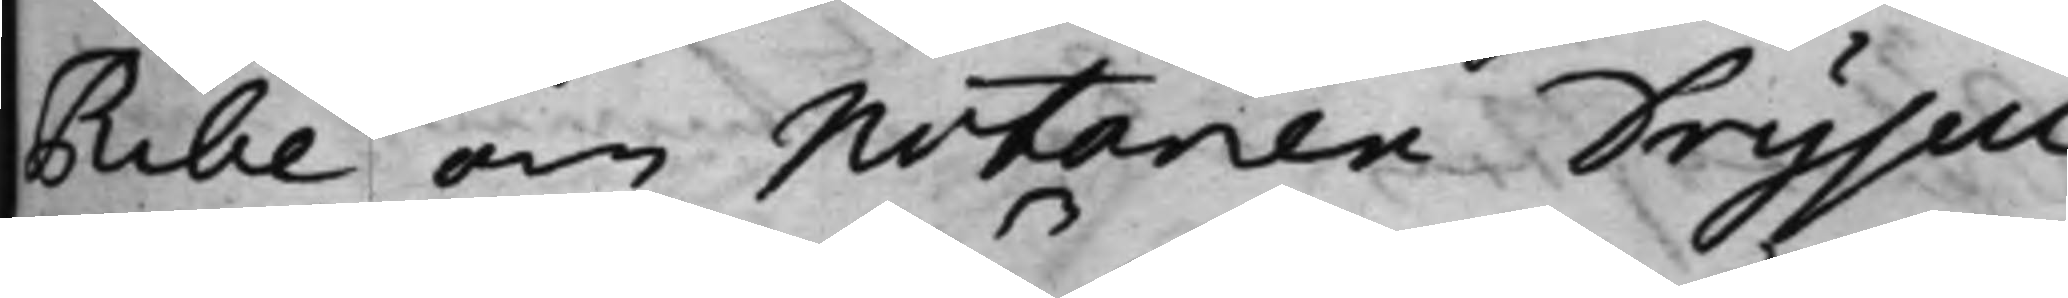Ribe, om Notarien Drysell
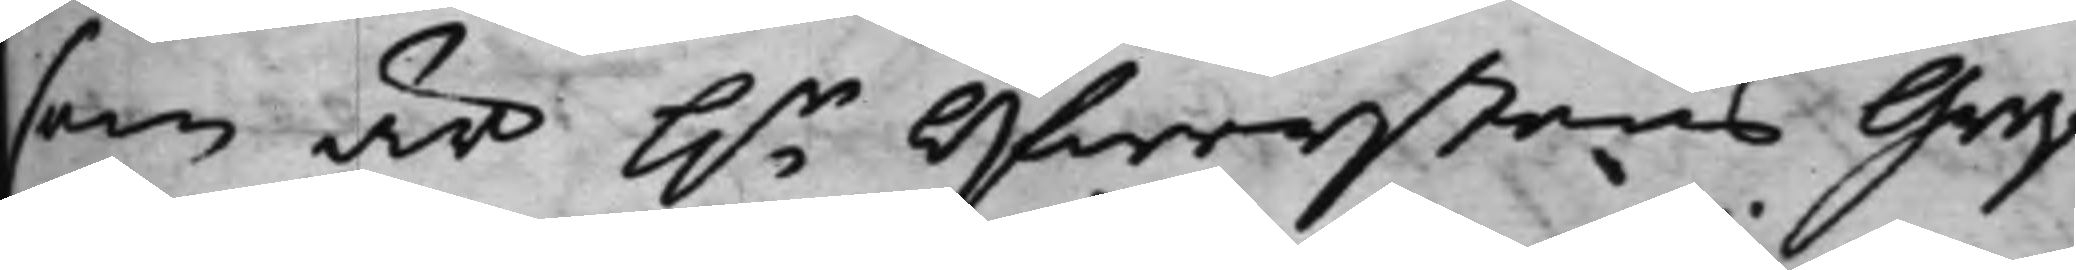som är h.r Öfwerstens Gref¬
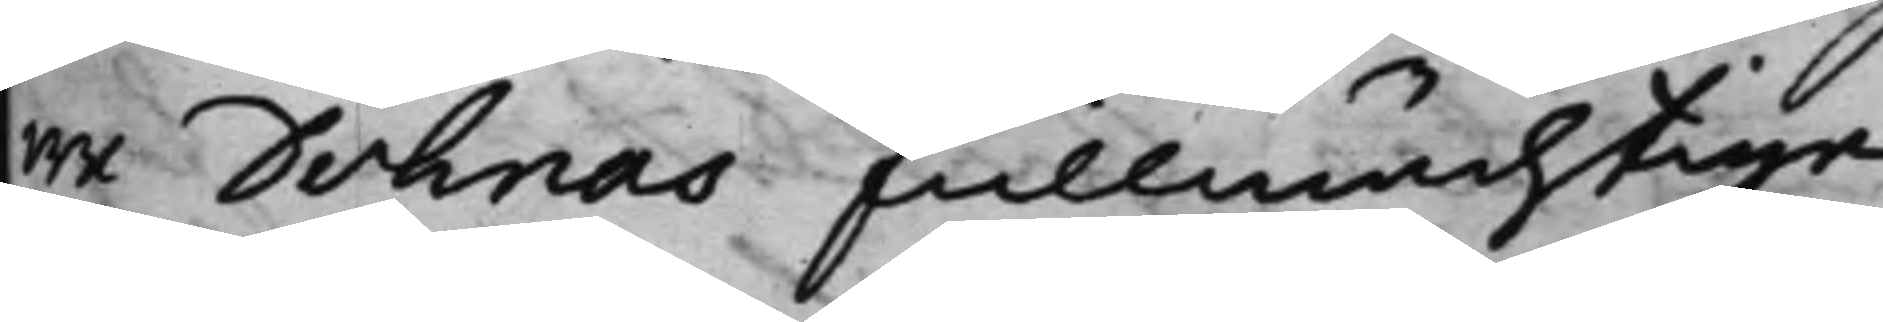we Dohnas fullmächtige,
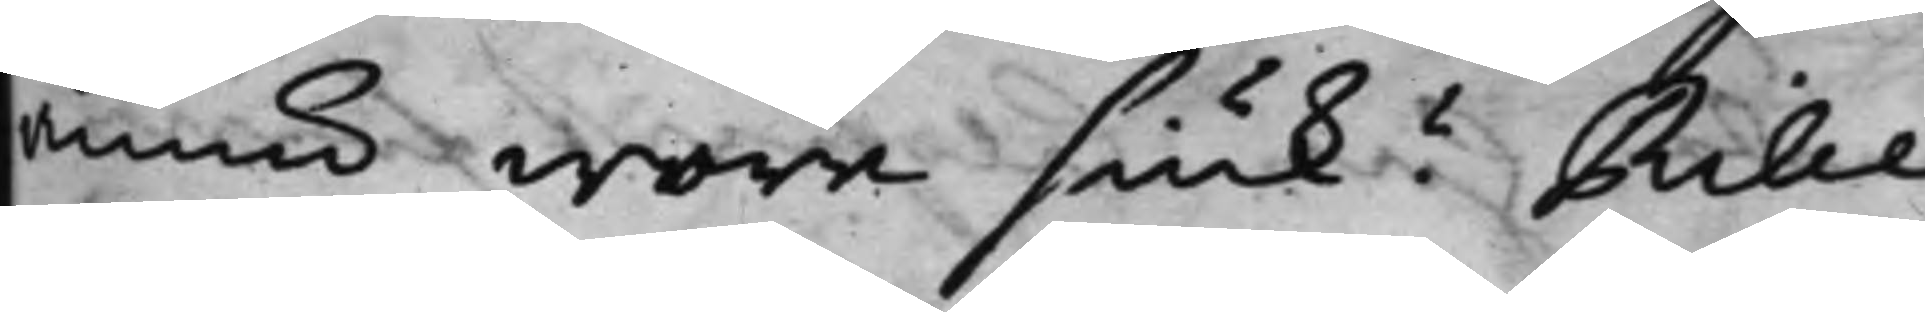ännu wore siuk? Rilbe
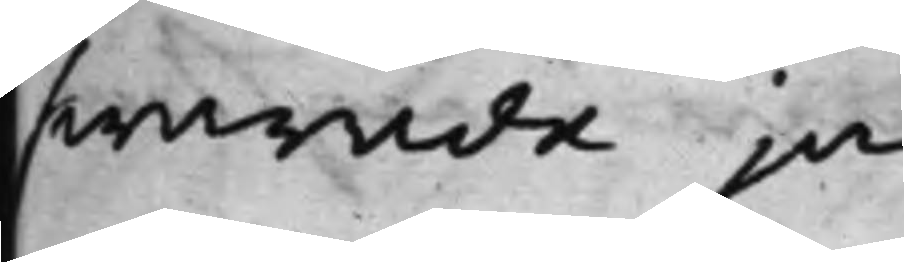swarade ja.
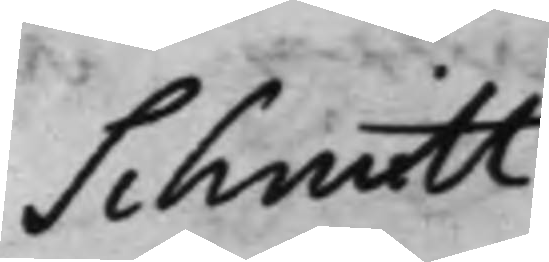Schmitt
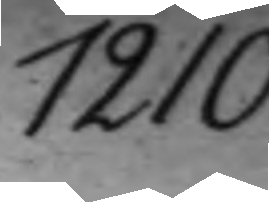1210.
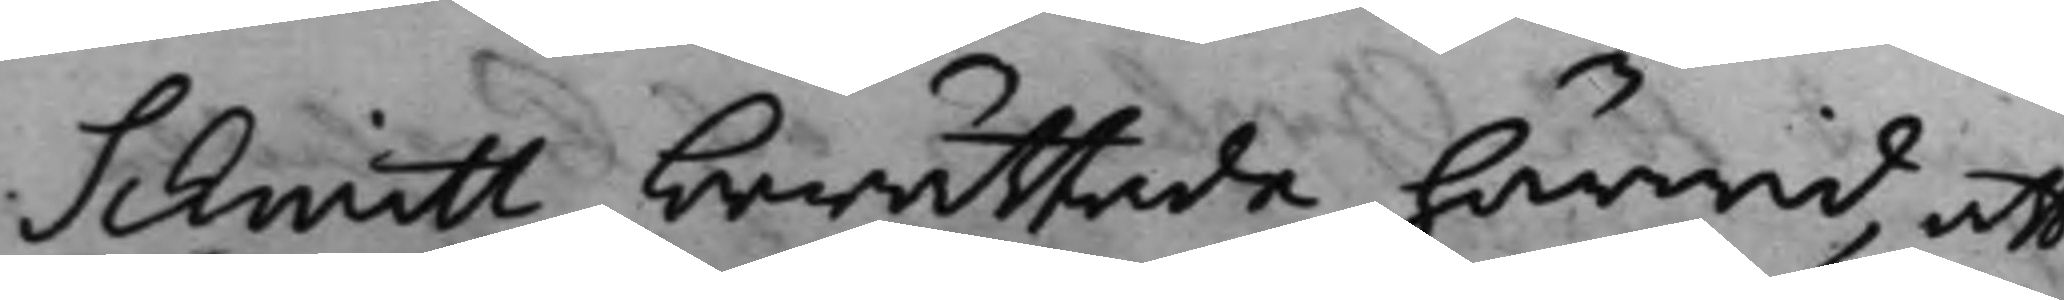Schmitt berättade härwid, att
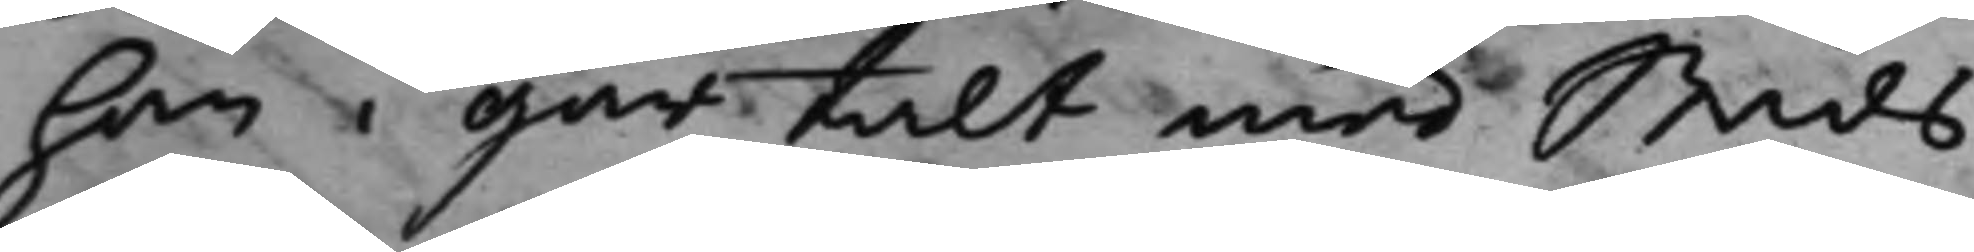han i går talt med Stads¬
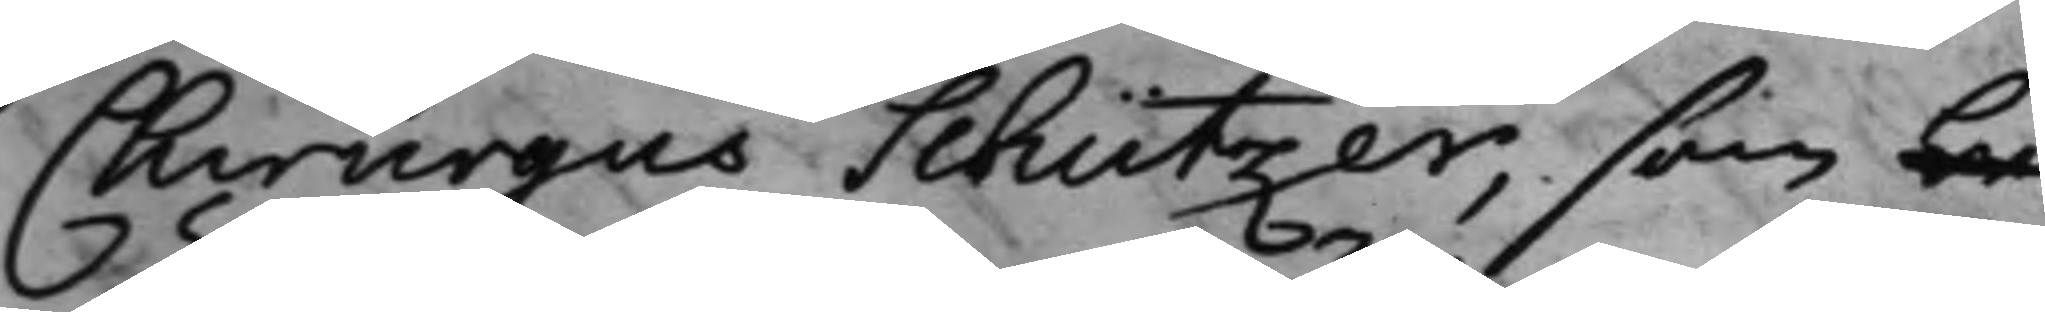Chirurgus Schützer, som be¬
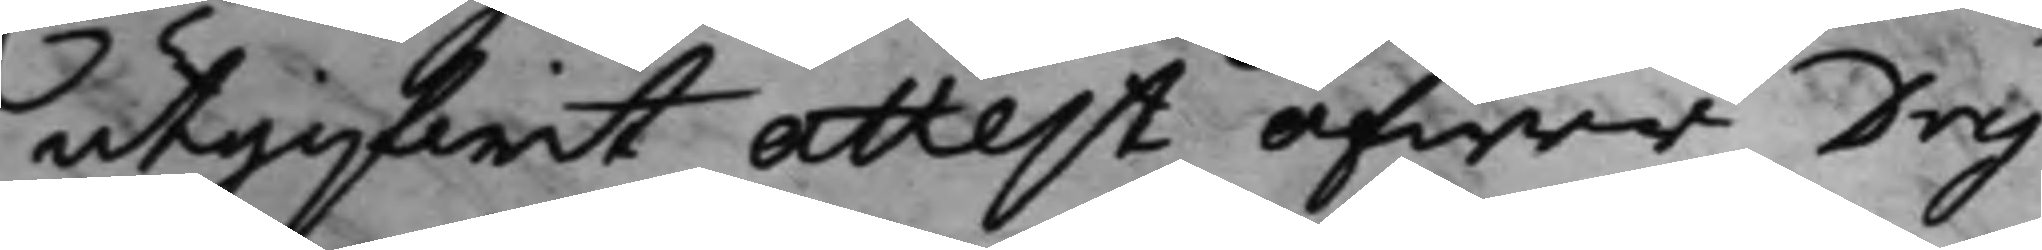utgifwit attest öfwer Dry¬
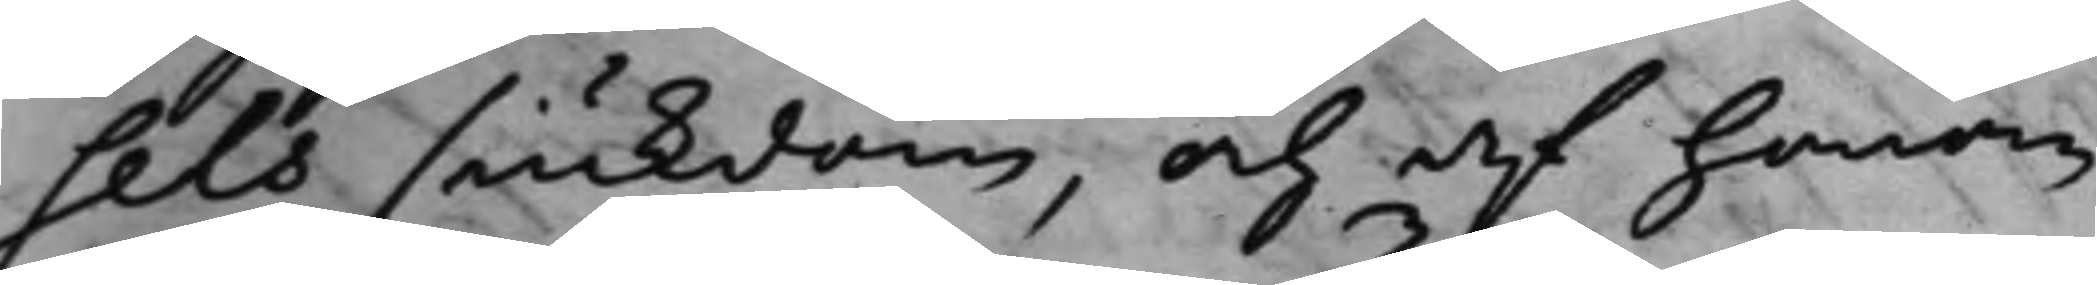sels siukdom, och af honom
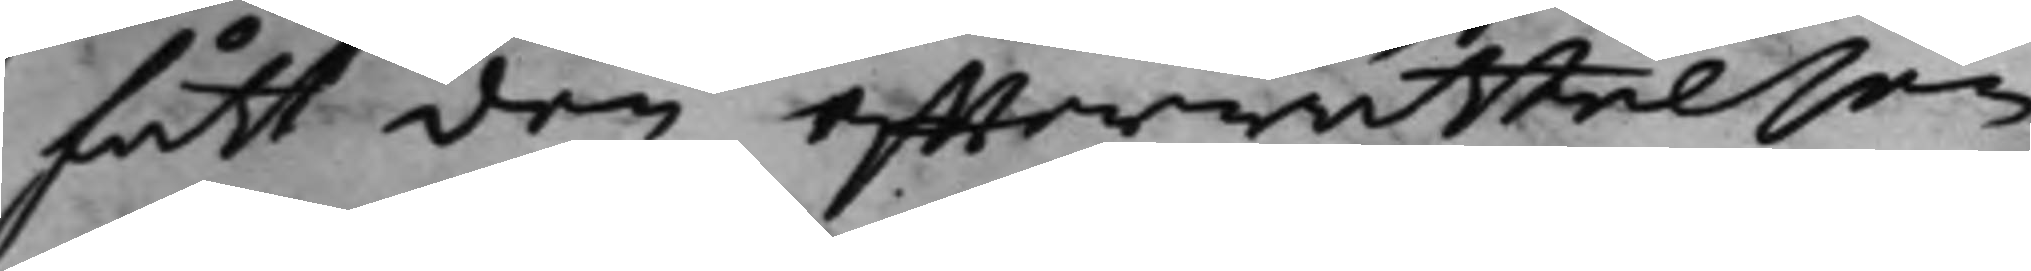fått den effterrättelsen
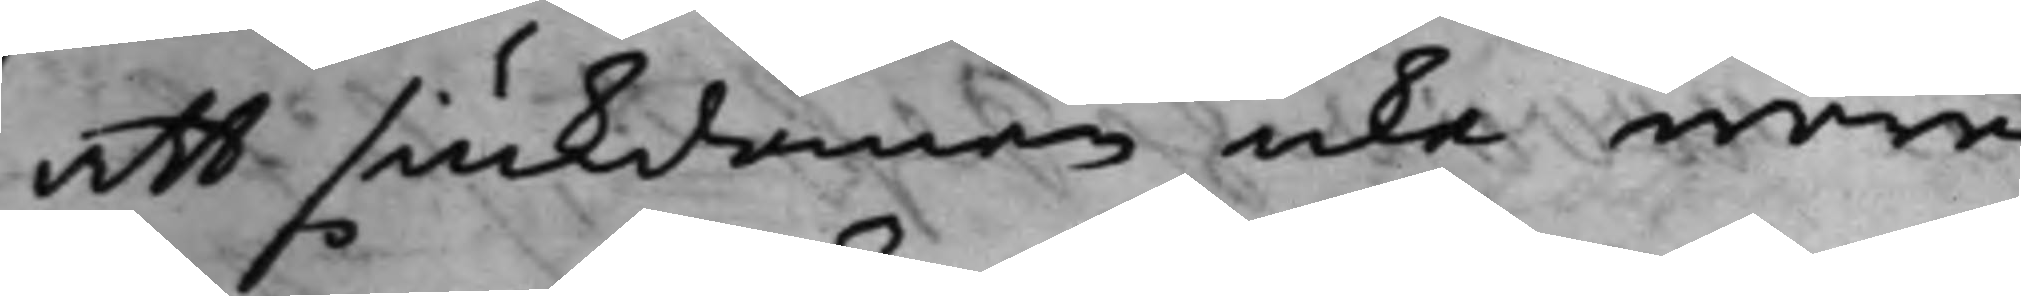att siukdomen icke wore
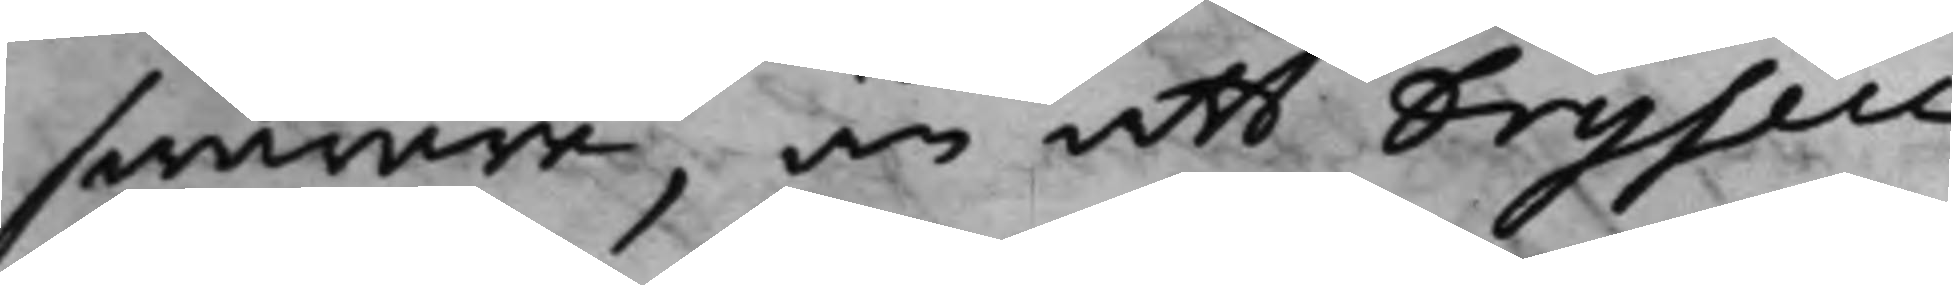swårare, än att Drysell
